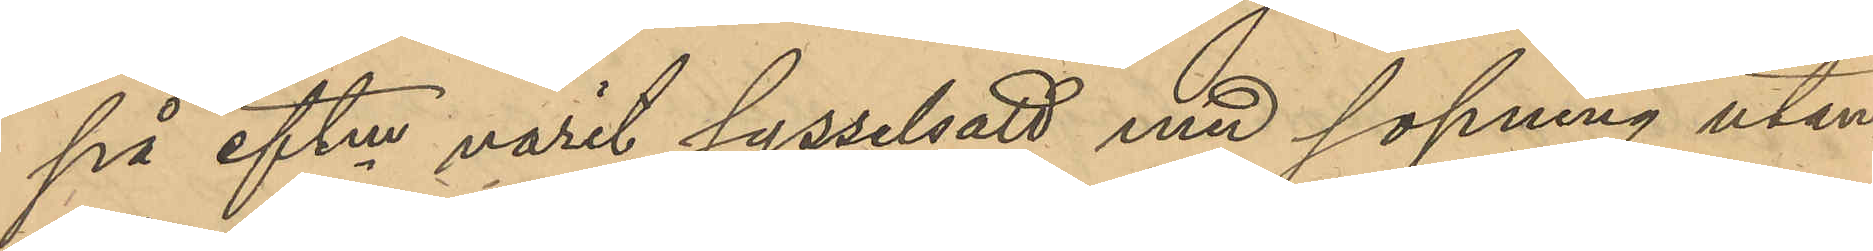på eftm varit sysselsatt med sopning utan¬
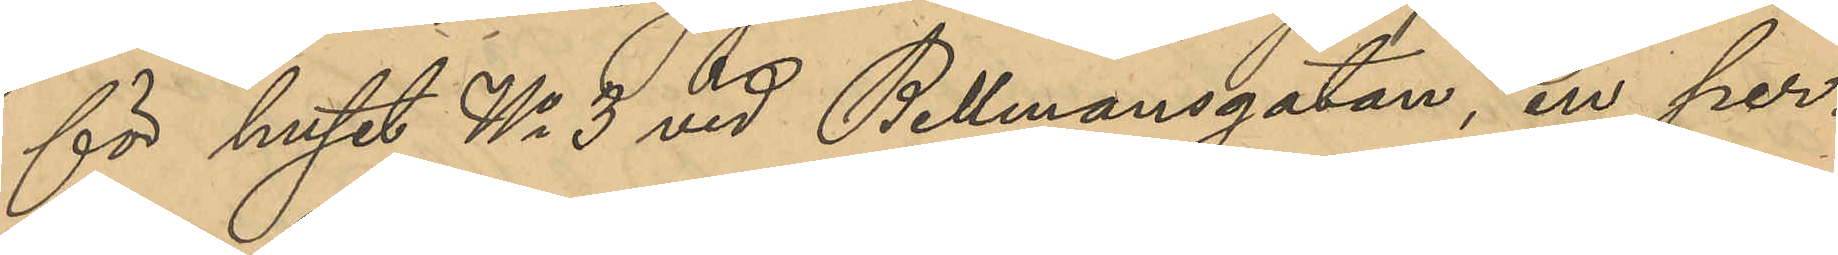för huset No 3 vid Bellmansgatan, en per¬
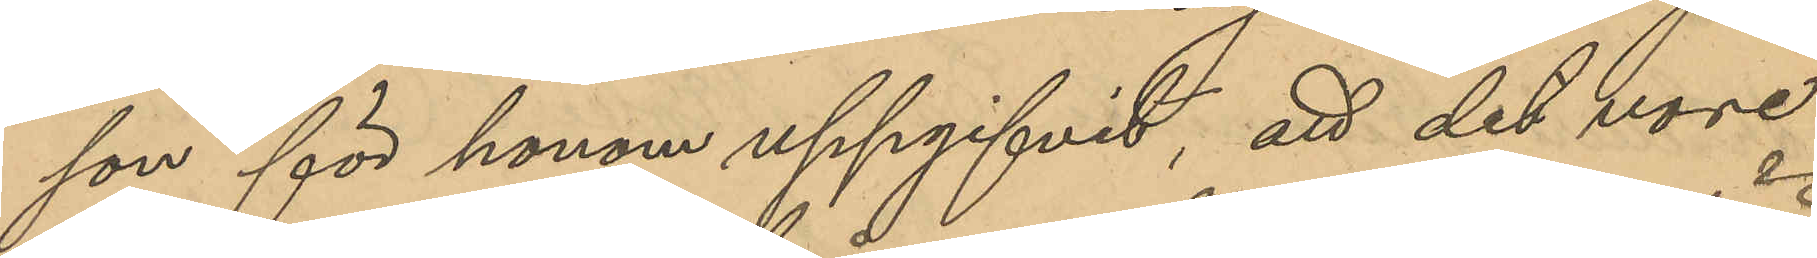son för honom uppgifvit, att det vore
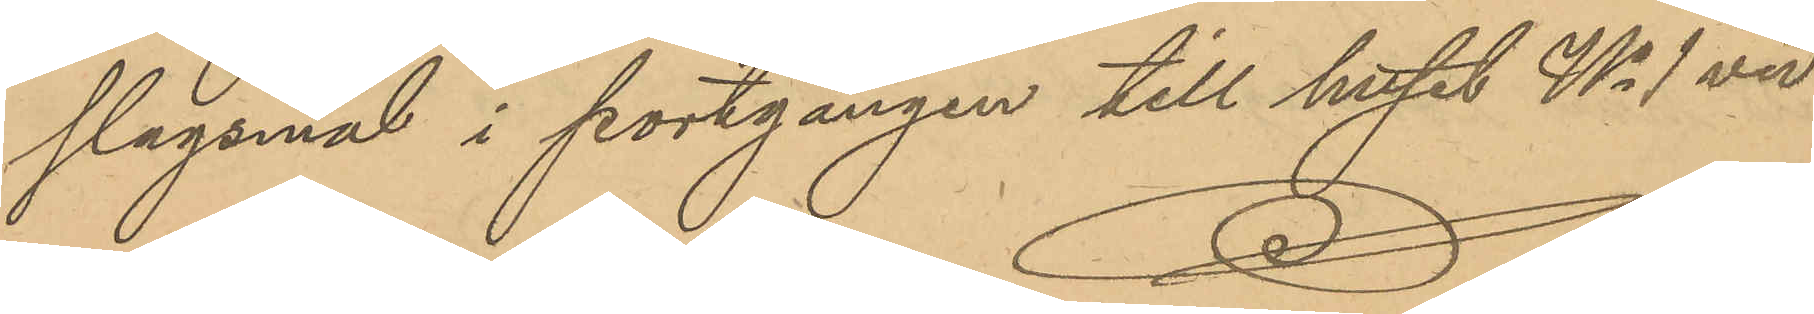slagsmål i portgången till huset No 1 vid
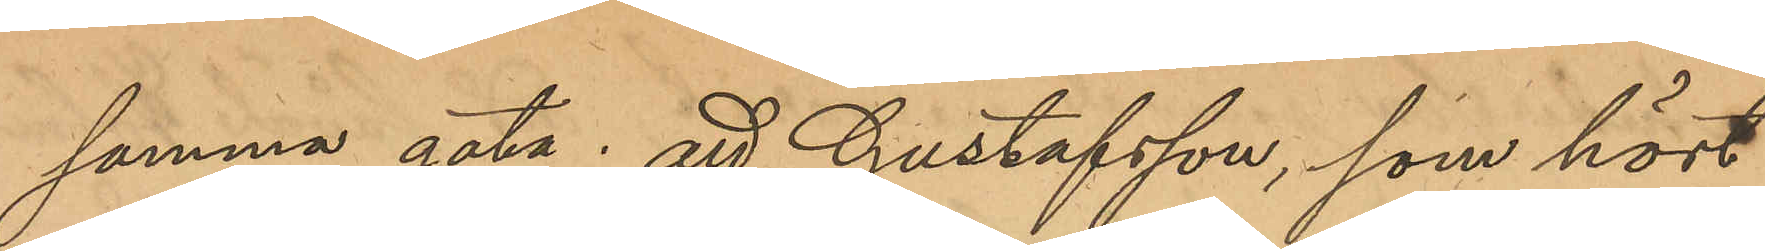samma gata; att Gustafsson, som hört
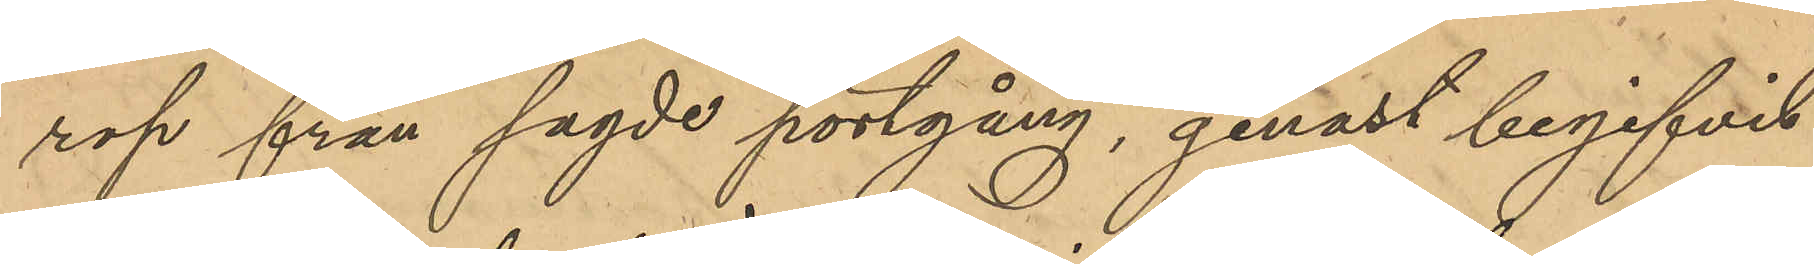rop från sagde portgång, genast begifvit
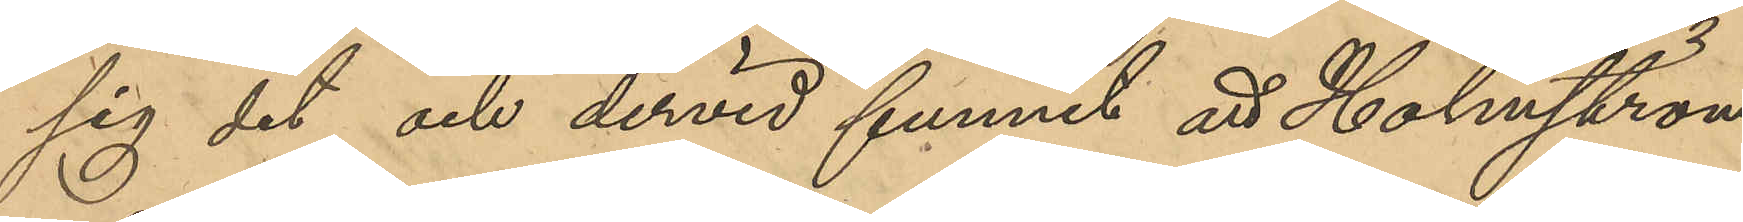sig dit och dervid funnit att Holmström
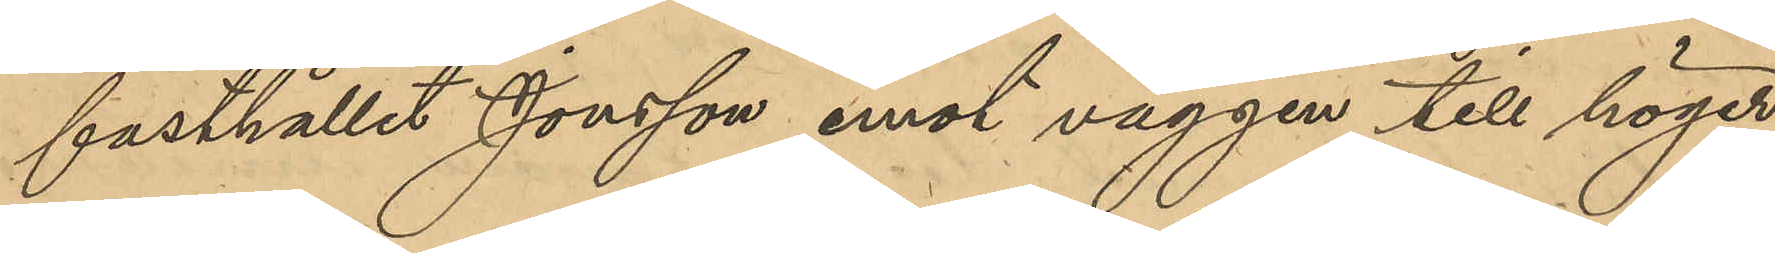fasthållit Jonsson emot väggen till höger
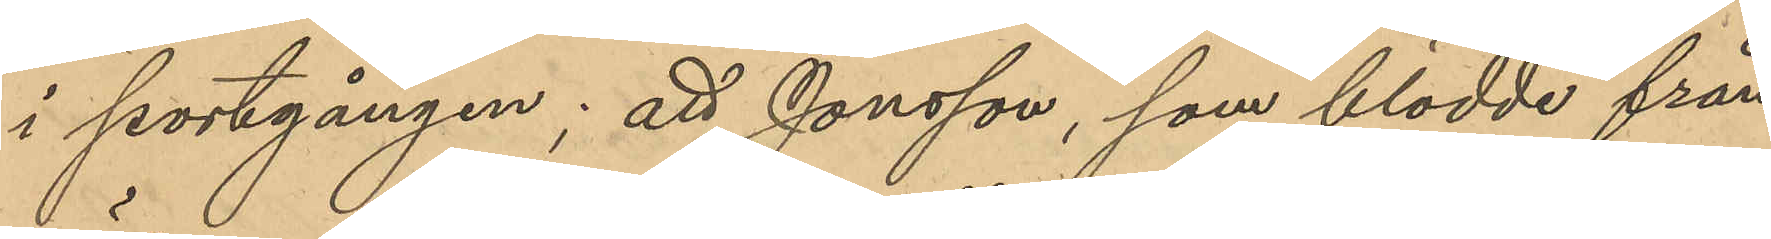i portgången; att Jonsson, som blödde från
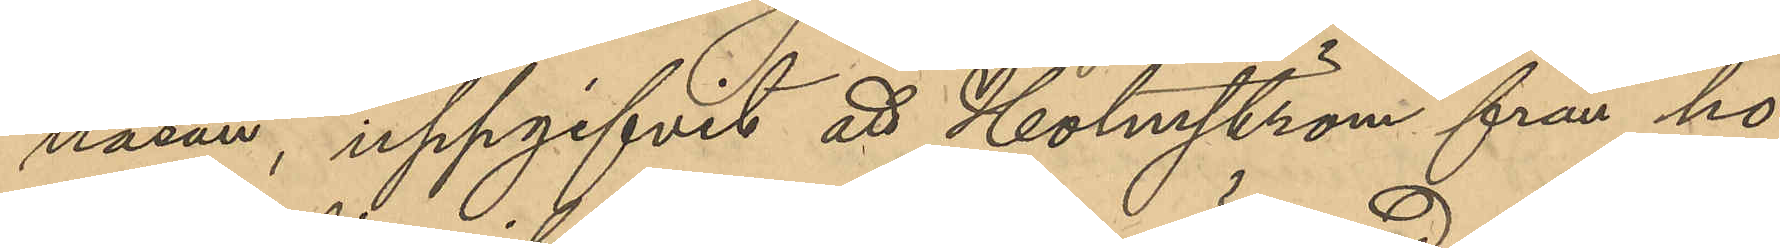näsan, uppgifvit att Holmström från ho¬
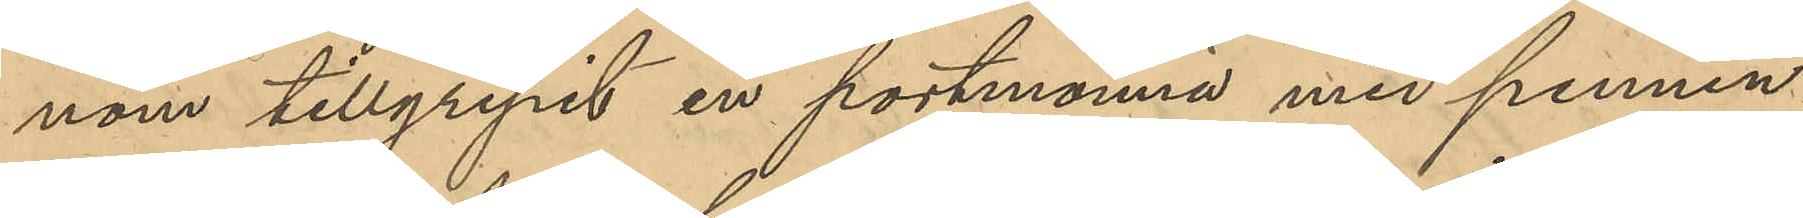nom tillgripit en portmonnä med pennin¬
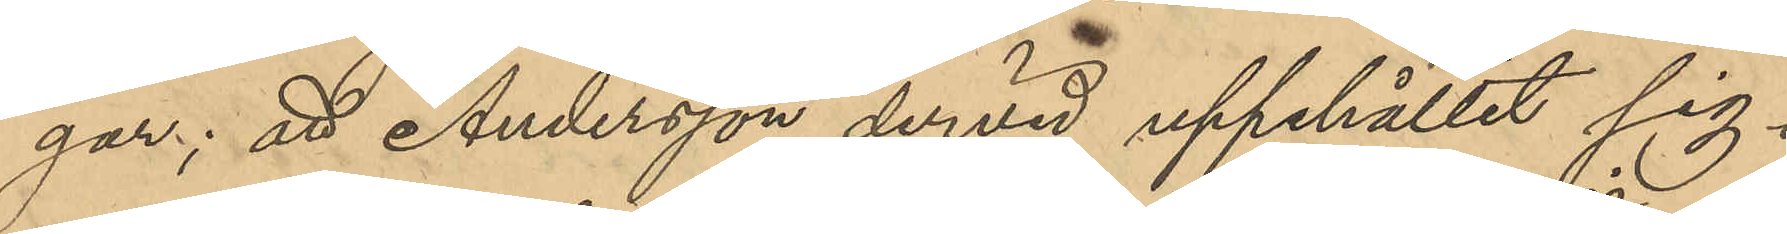gar; att Andersson dervid uppehållit sig i
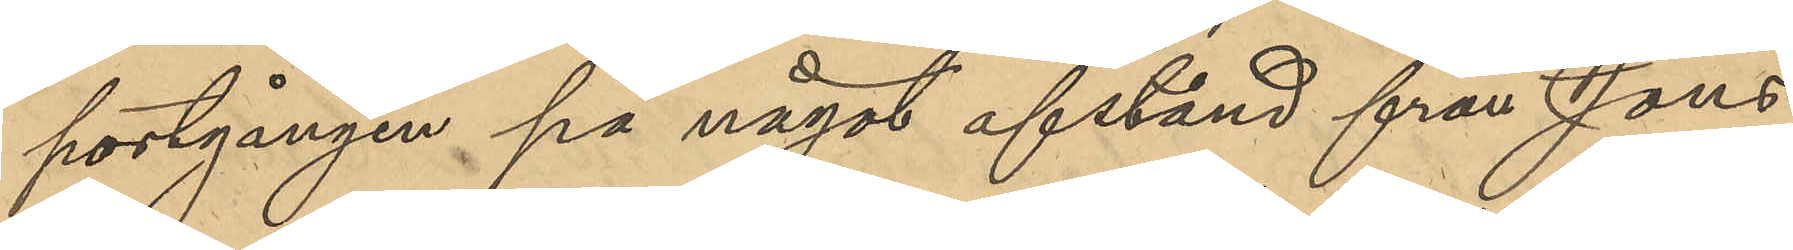portgången på något afstånd från Jons¬
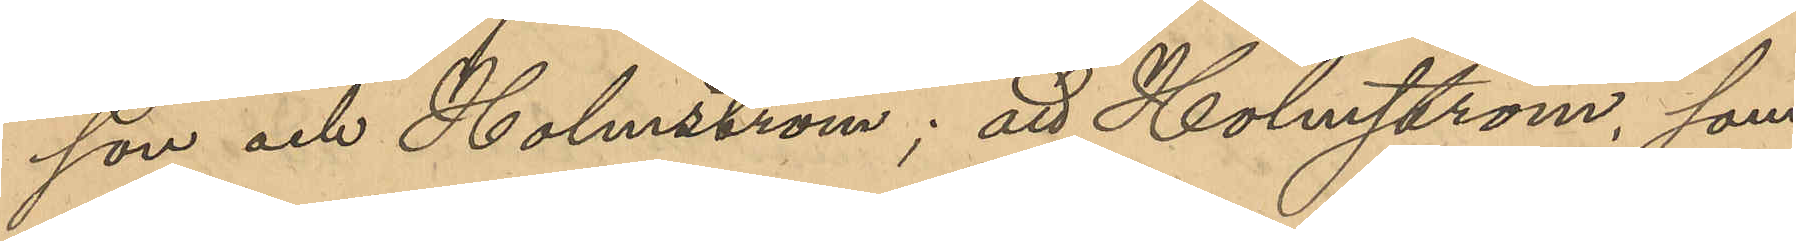son och Holmström; att Holmström, som
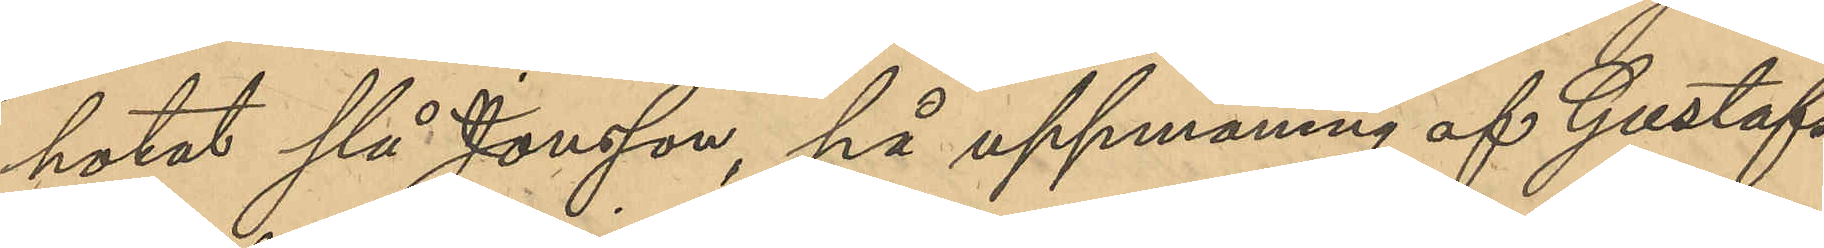hotat slå Jonsson, på uppmaning af Gustafs¬
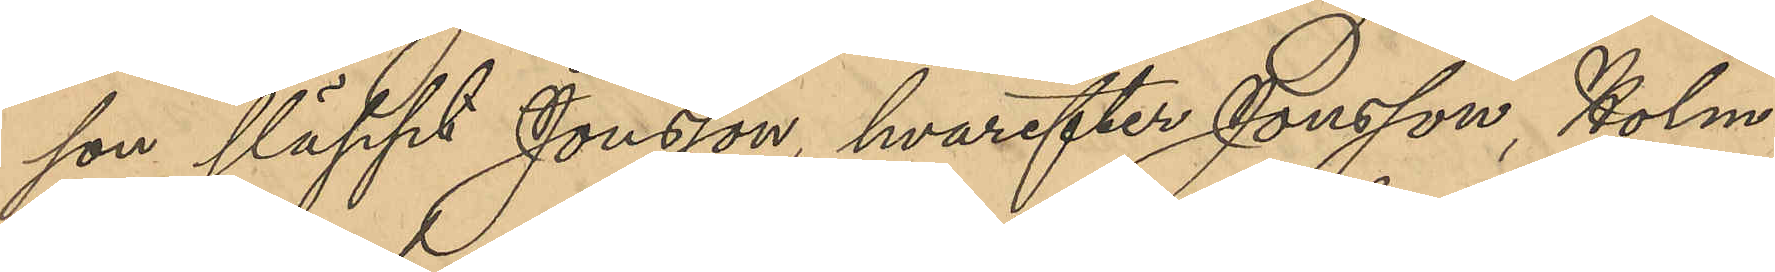son släppt Jonsson, hvarefter Jonsson, Holm¬
